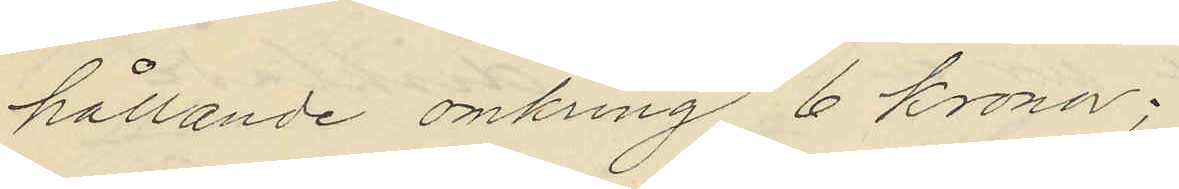hållande omkring 6 kronor;
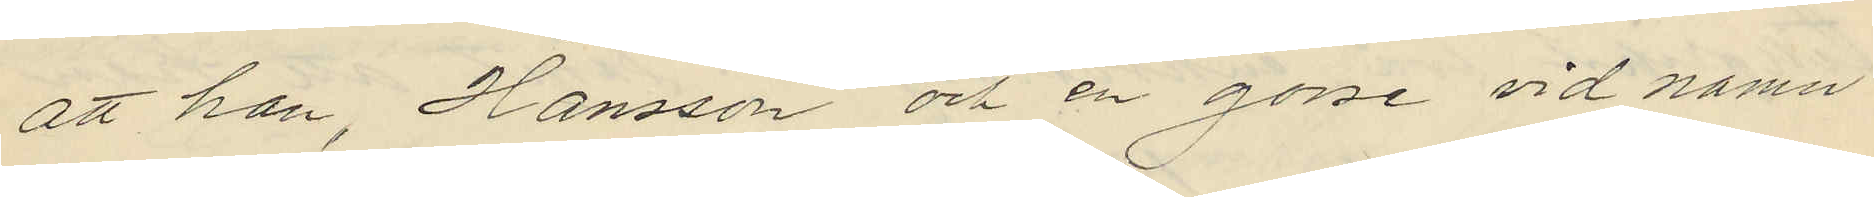att han, Hansson och en gosse vid namn
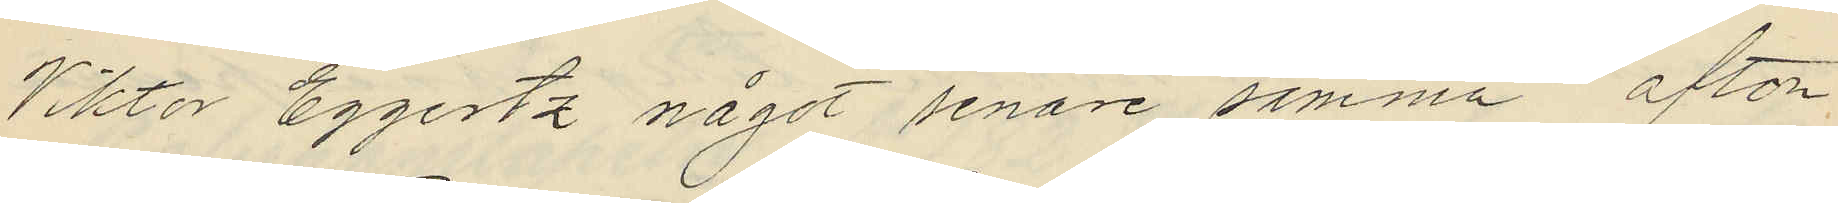Viktor Eggertz något senare samma afton
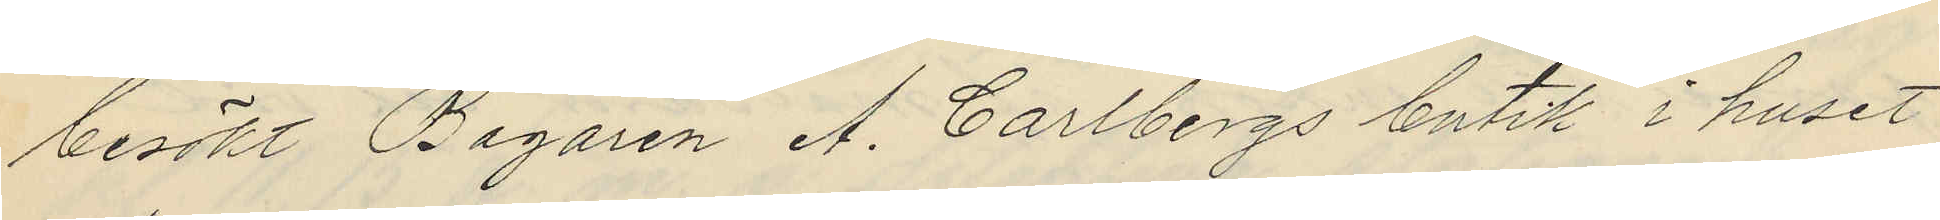besökt Bagaren A. Carlbergs butik i huset
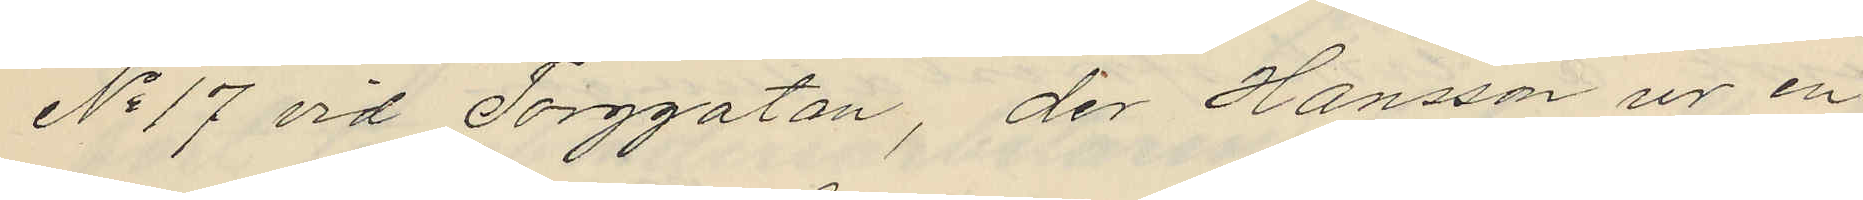No 17 vid Torggatan, der Hansson ur en
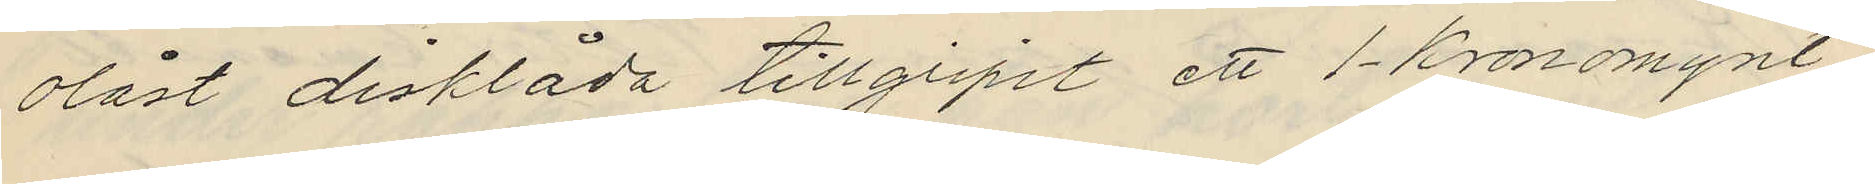olåst disklåda tillgripit ett 1-kronomynt
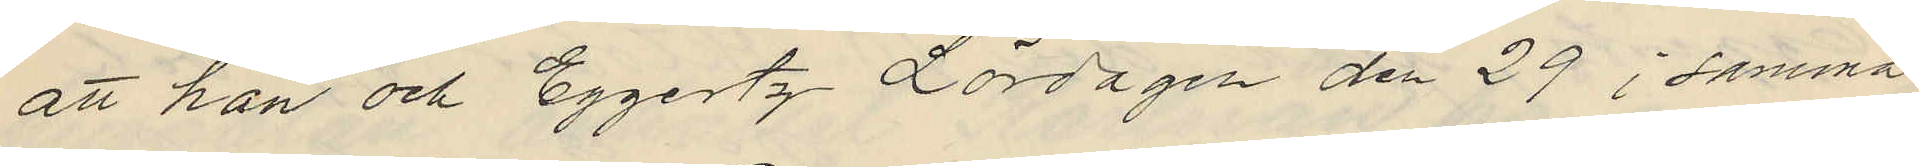att han och Eggertz Lördagen den 29 i samma
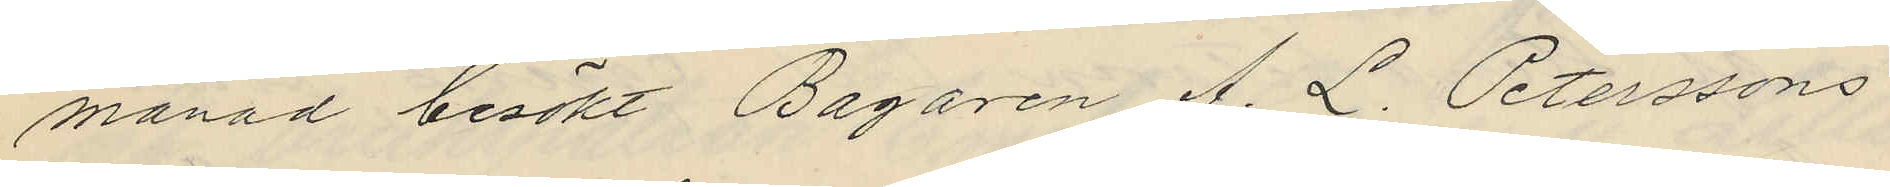månad besökt Bagaren A. L. Peterssons
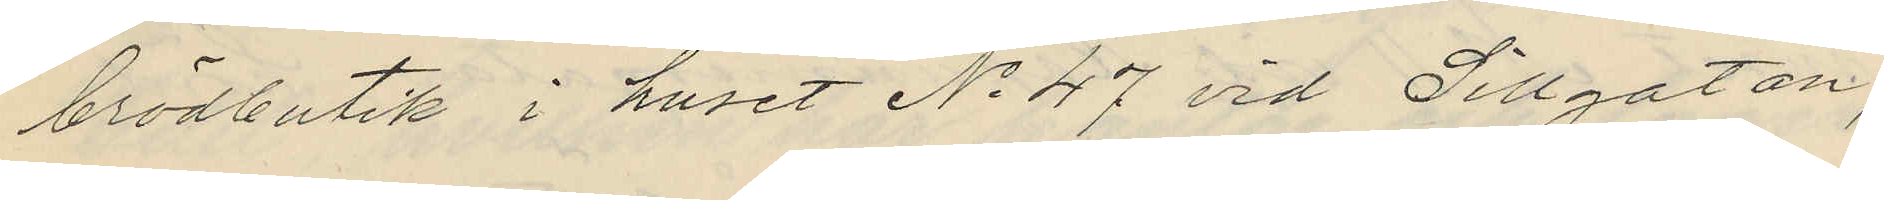brödbutik i huset No 47 vid Sillgatan,
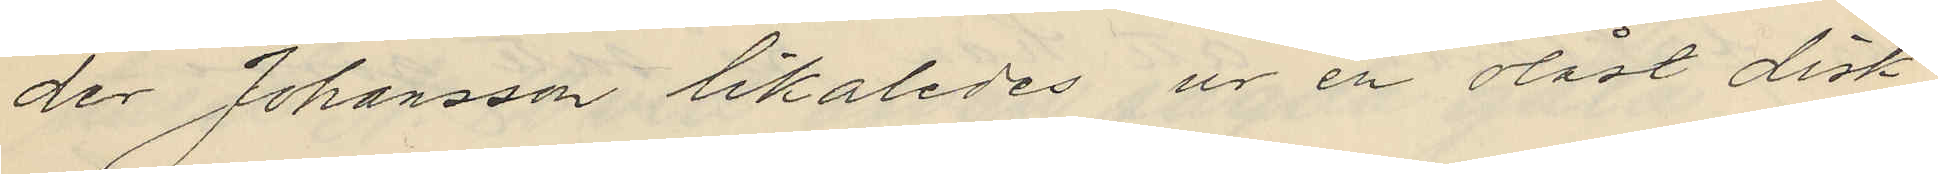der Johansson likaledes ur en olåst disk
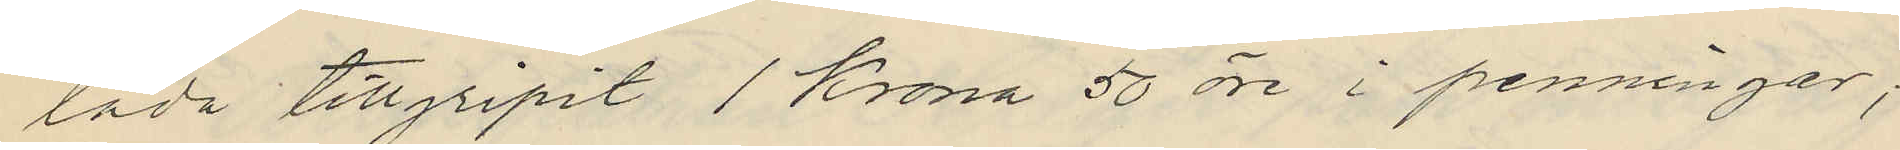låda tillgripit 1 Krona 50 öre i penningar;
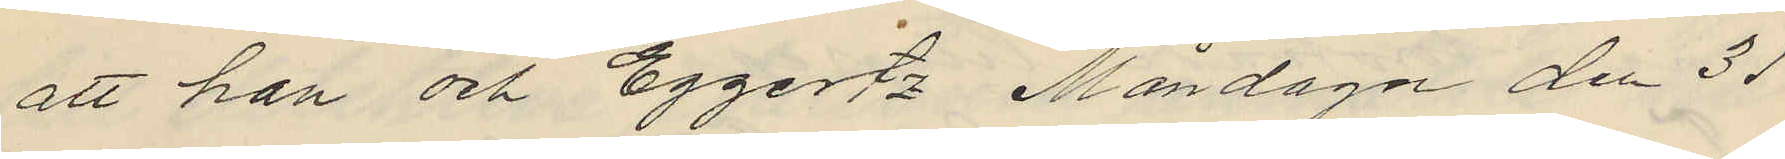att han och Eggertz Måndagen den 31
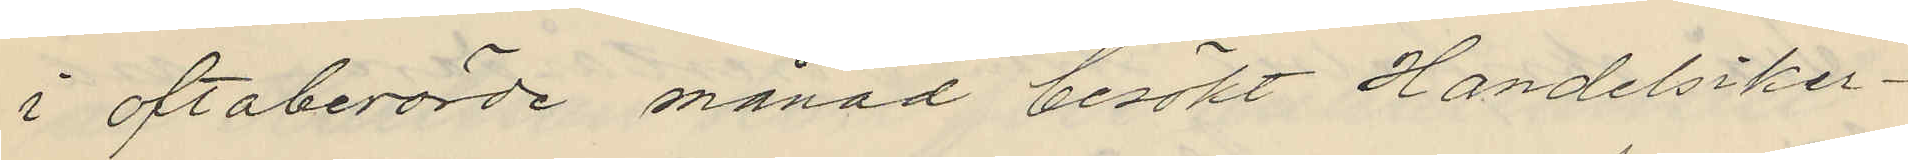i oftaberörde månad besökt Handelsiker¬
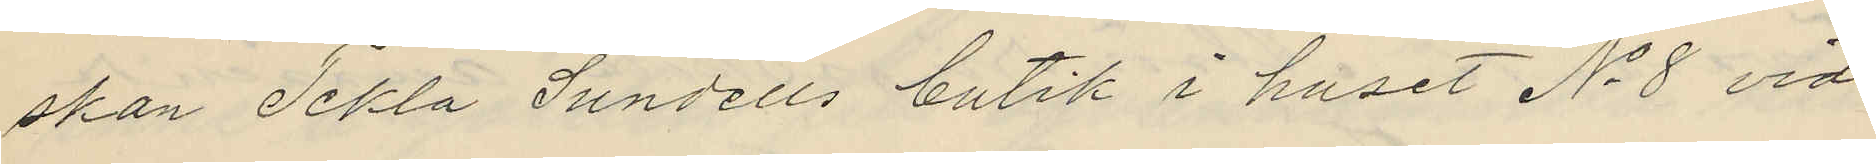skan Tekla Sundells butik i huset No 8 vid
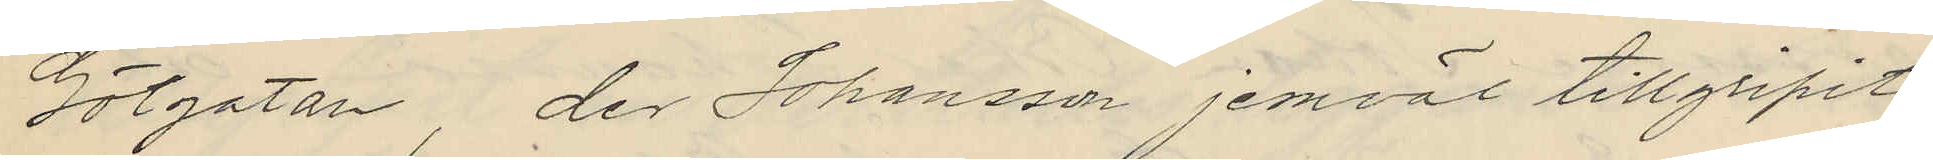Götgatan, der Johansson jemväl tillgripit
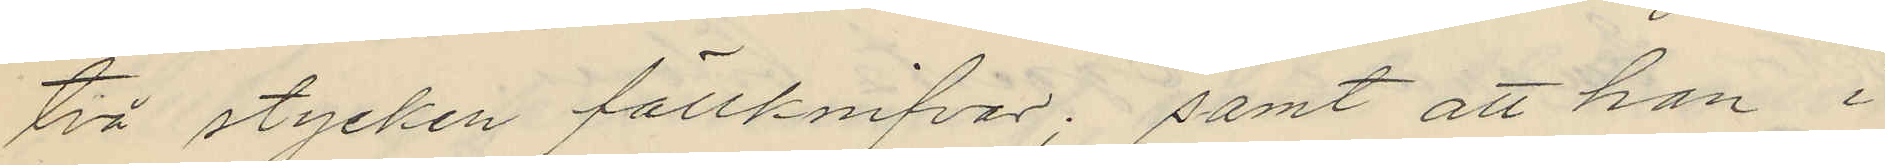två stycken fällknifvar; samt att han i
